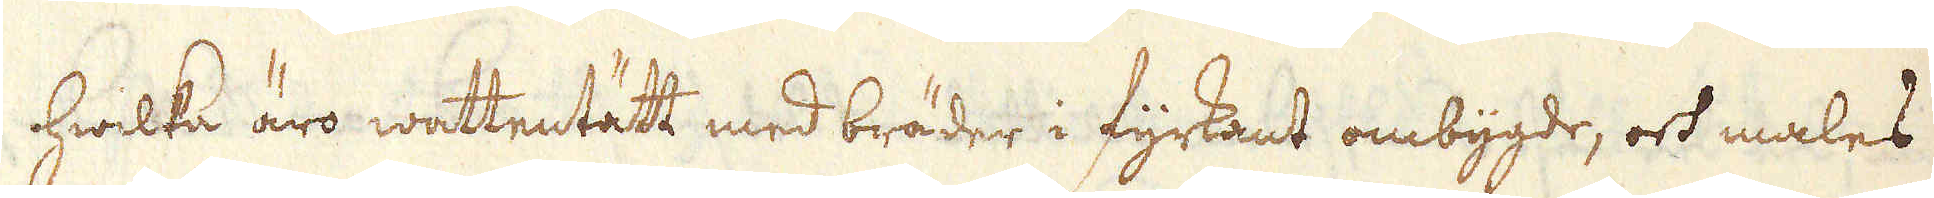hwilka äro wattentätt med bräder i fyrkant ombygde, och males
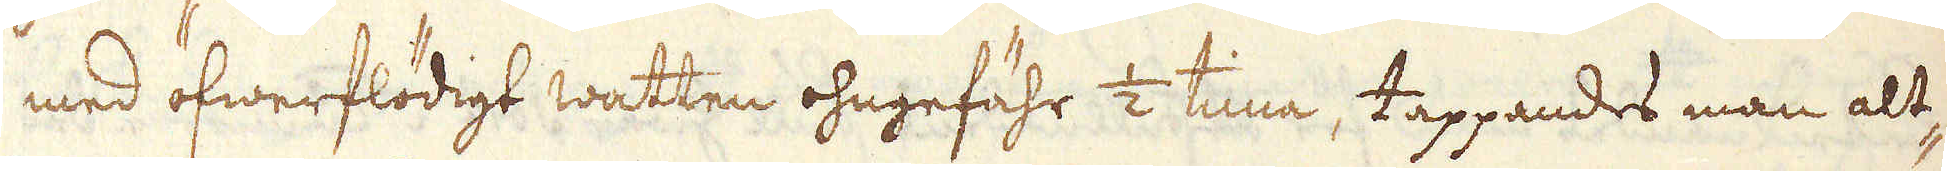med öfwerflödigt watten ohngefähr 1/2 tima, tappandes man alt-
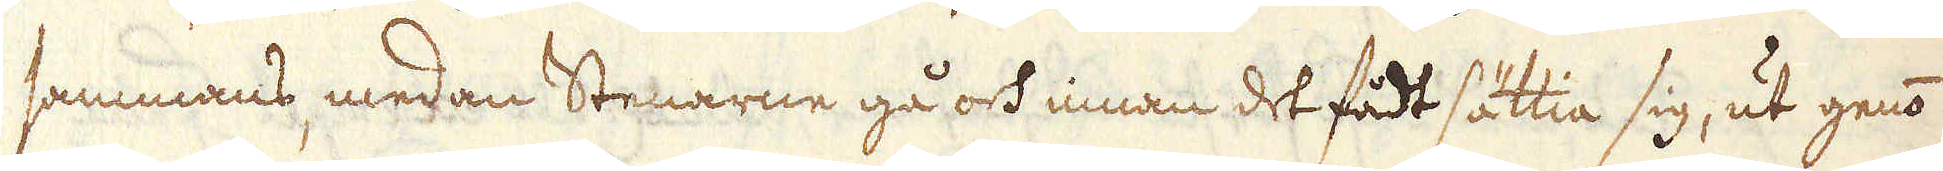sammans, medan Stenarne gå och innan det fådt sättia sig, ut genom
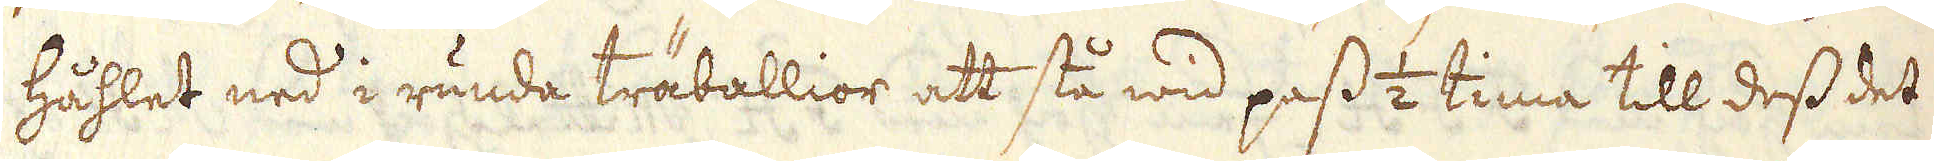Håhlet ned i runda träballior att stå wid pass 1/2 tima till dess det
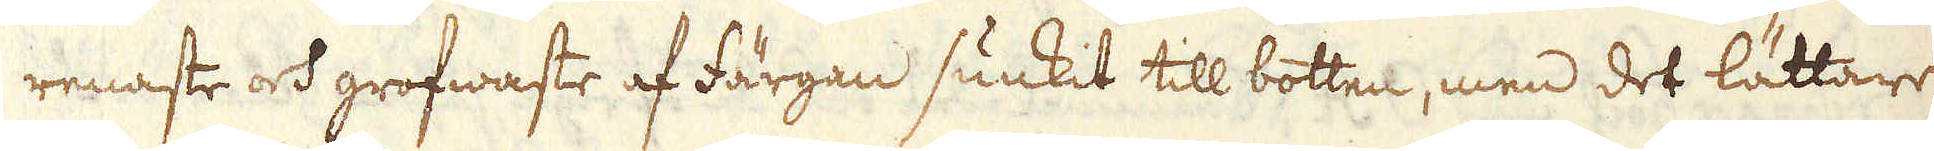renaste och grofwaste af färgan sunkit till botten, men det lättare
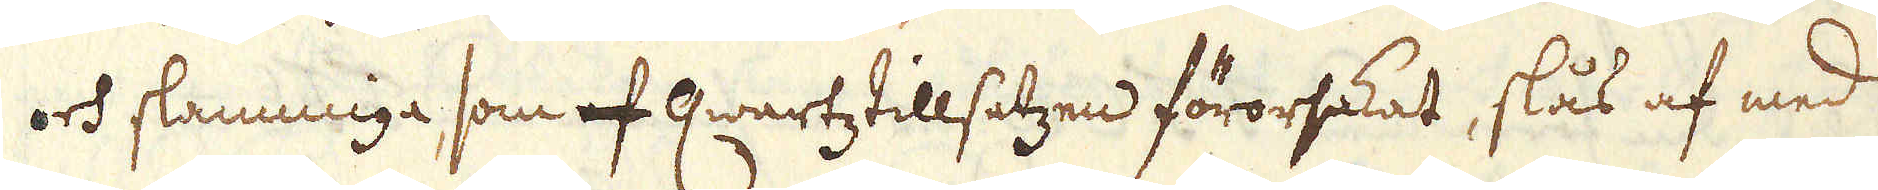och slammiga, som af Qwartz tillsatzen förorsakat, slås af med
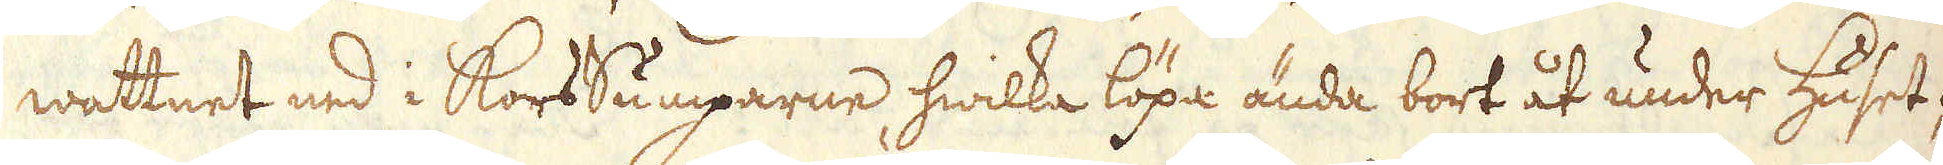wattnet ned i KorsSumparne, hwilka löpa ända bort åt under Huset;
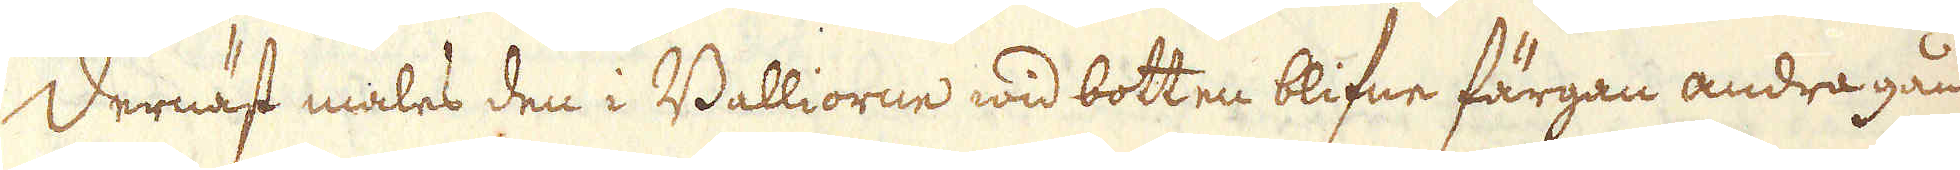Dernäst males den i Balliorne wid botten blifne färgan andra gån-
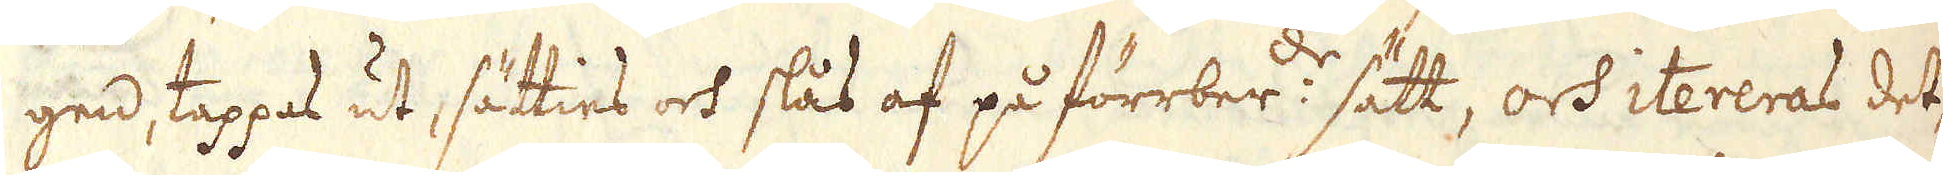gen, tappas ut, sätties och slås af på förrber:de sätt, och itereras det-
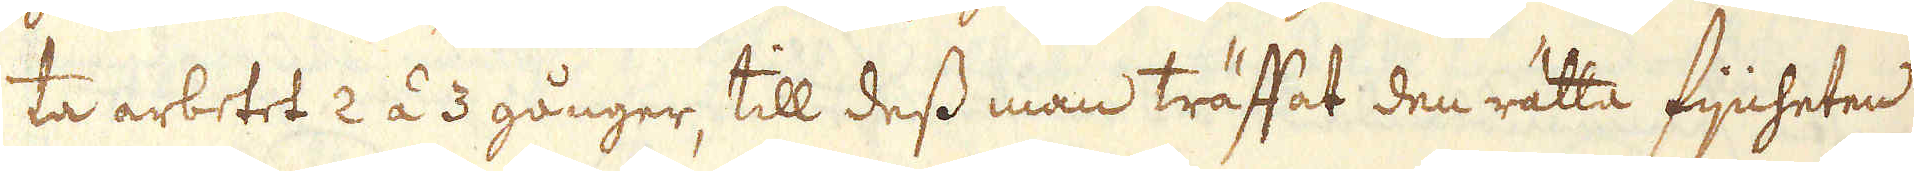ta arbetet 2 á 3 gånger, till dess man träffat den rätta Fijnheten
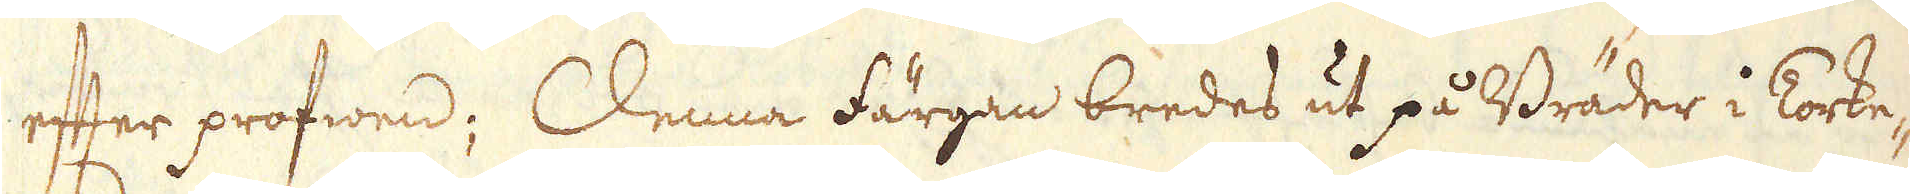efter profwen; Denna färgan bredes ut på Bräder i Torke-
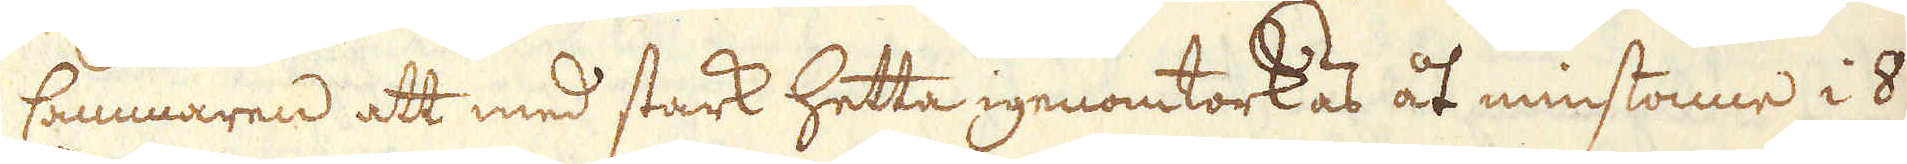Cammaren att med stark hetta igenomtorkas åt minstonne i 8
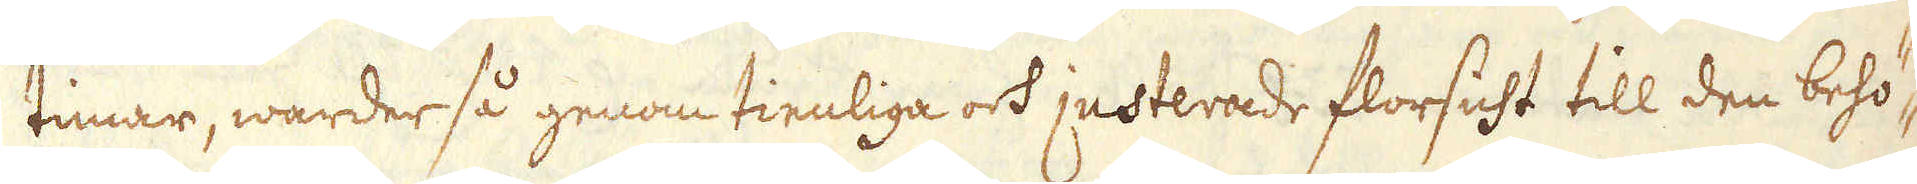timar, warder så genom tienliga och justerade florsicht till den behö-
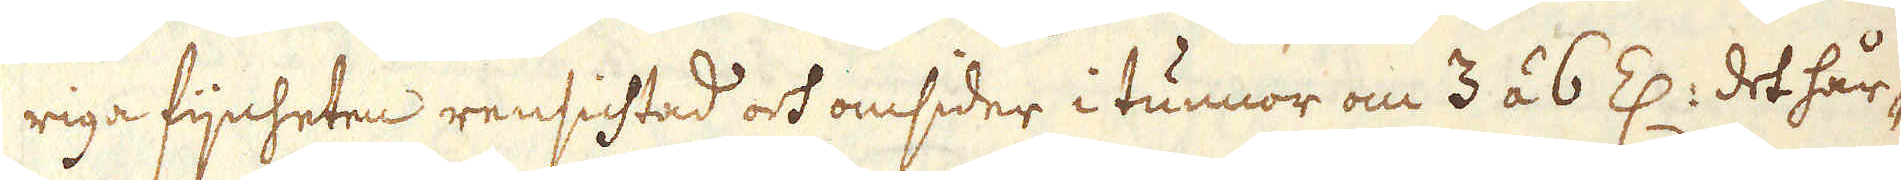riga fijnheten rensichtad och omsider i tunnor om 3 á 6 Z: det hår-
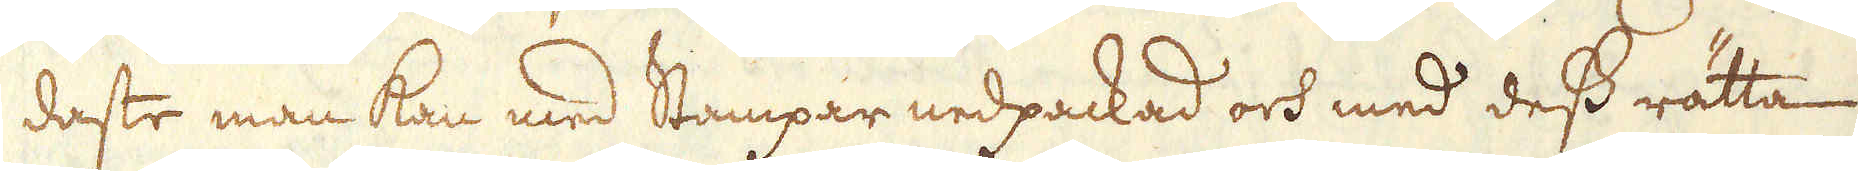daste man kan med Stampar nedpackad och med dess rätta
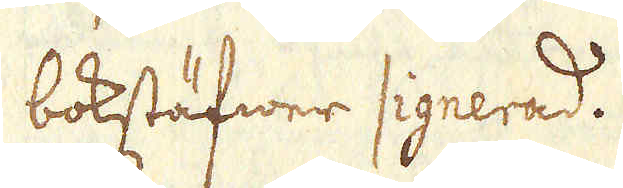bokstäfwer signerad.
